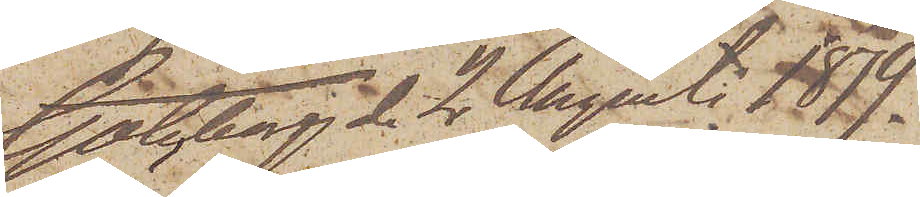Göteborg den 2 Augusti 1879.
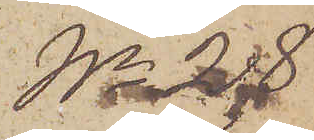No 28
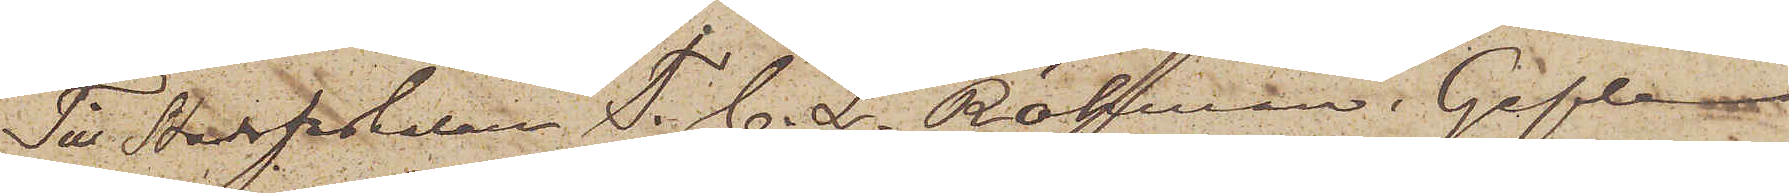Till Stadsfiskalen T. C. L. Röhman i Gefle.
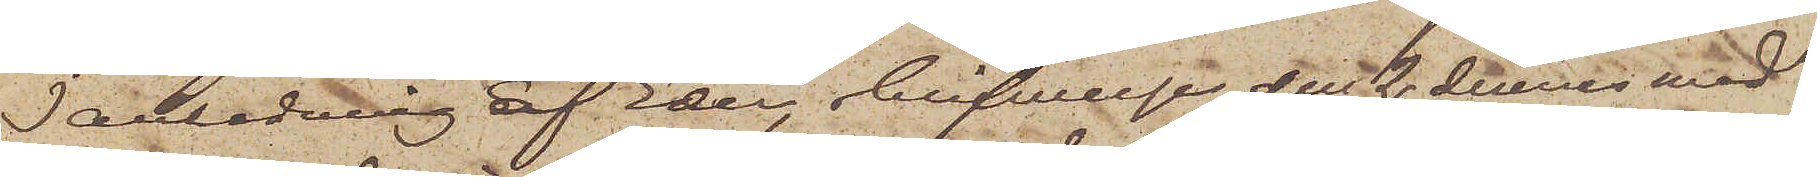I anledning af Eder skrifwelse den 2 dennes med¬
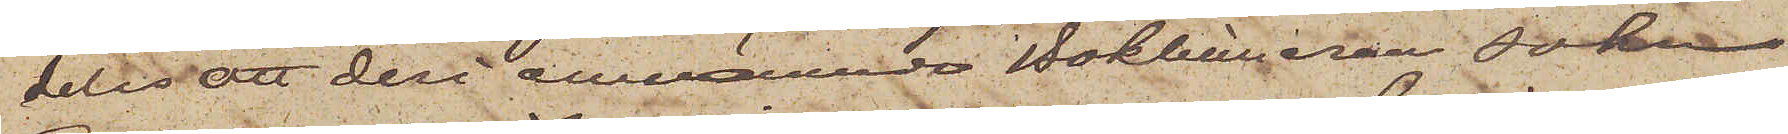delas att deri omnämnde Bokhållaren Johan
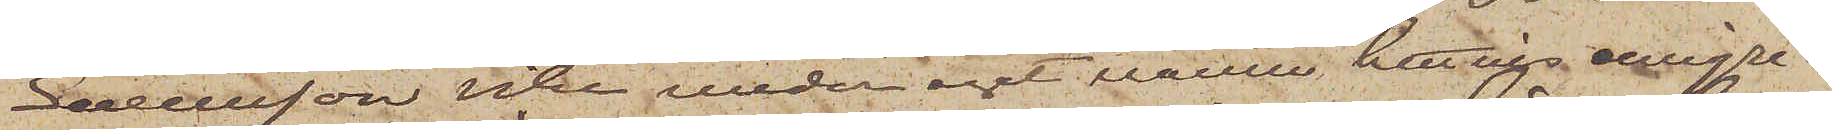Svensson icke under eget namn hittills emigre¬
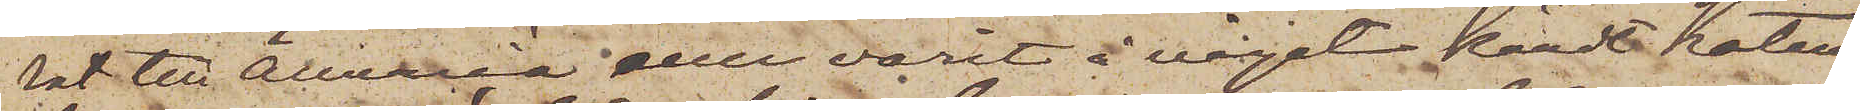rat till America eller varit å något kändt hotell
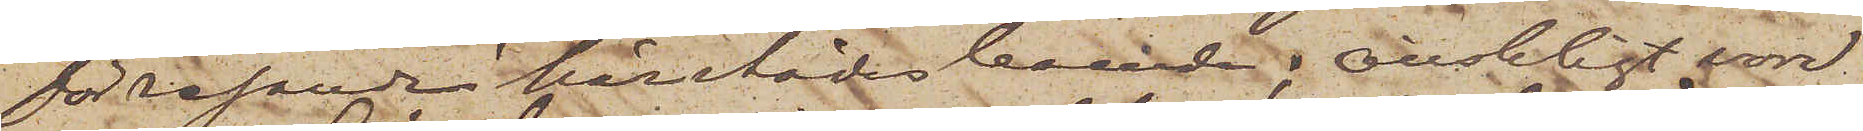för resande härstädes boende; Önskligt vore
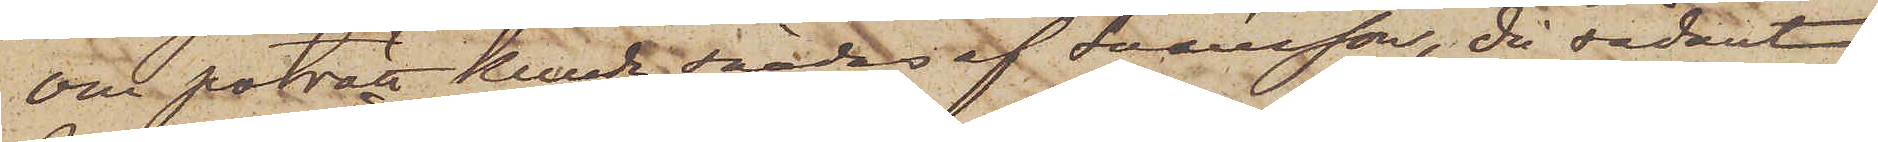om porträtt kunde sändas af Svensson, då sådant
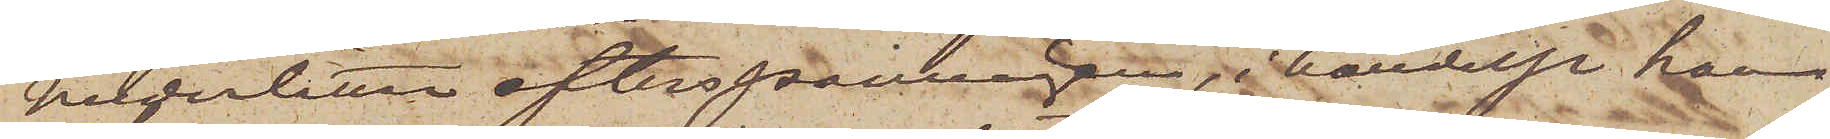underlättar efterspaningen, i händelse han
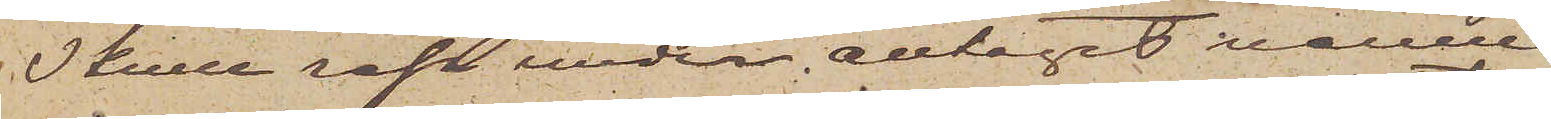skulle resa under antaget namn.
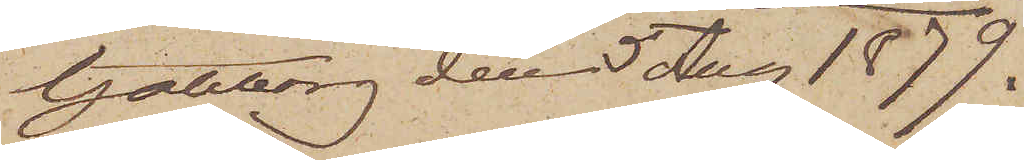Göteborg den 5 Aug 1879.
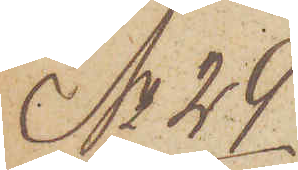No 29.
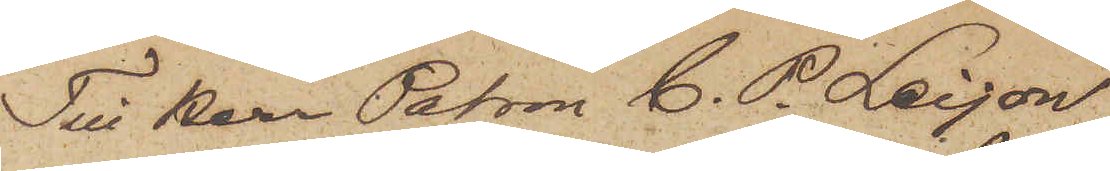Till Herr Patron C. P. Leijon
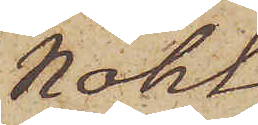Nohl
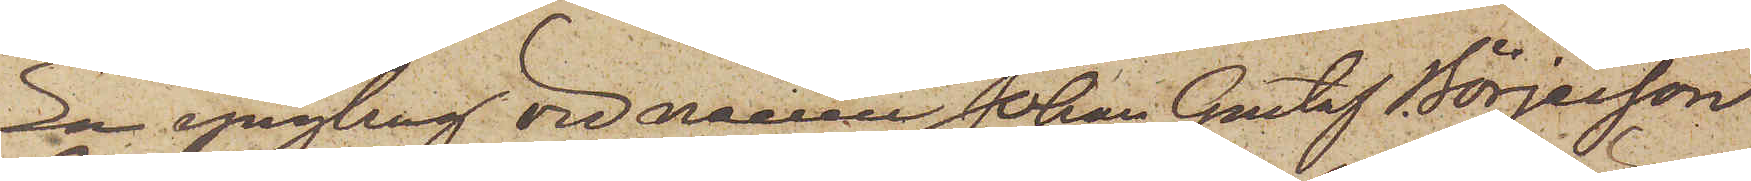En yngling vid namn Johan Gustaf Börjesson
